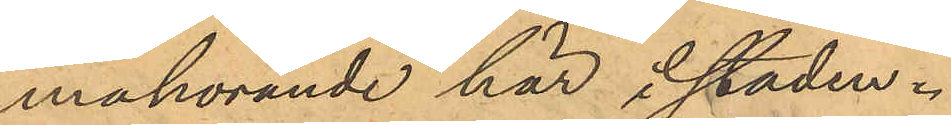mahörande här i staden.
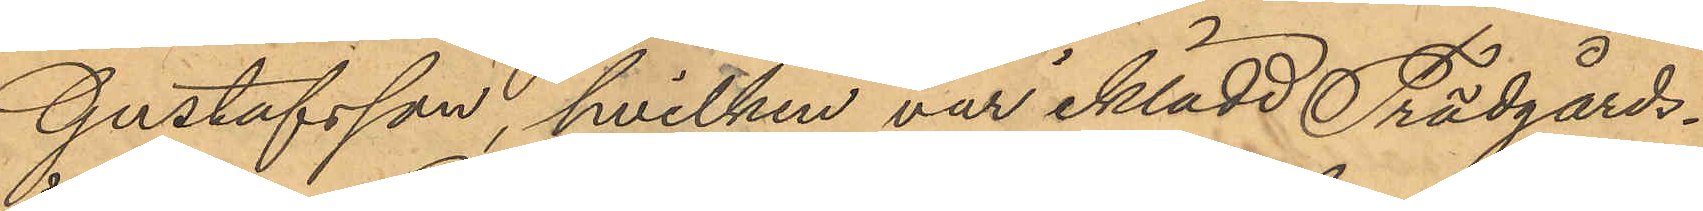Gustafsson, hvilken var iklädd Trädgårds¬
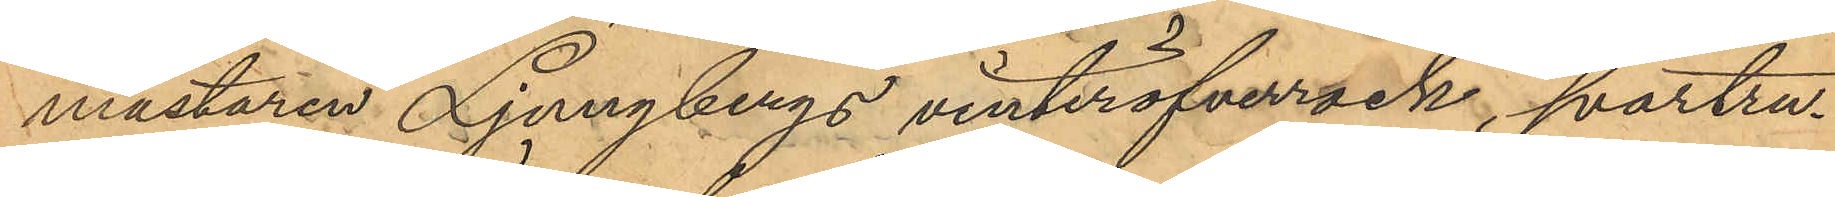mästaren Ljungbergs vinteröfverrock, svartru¬
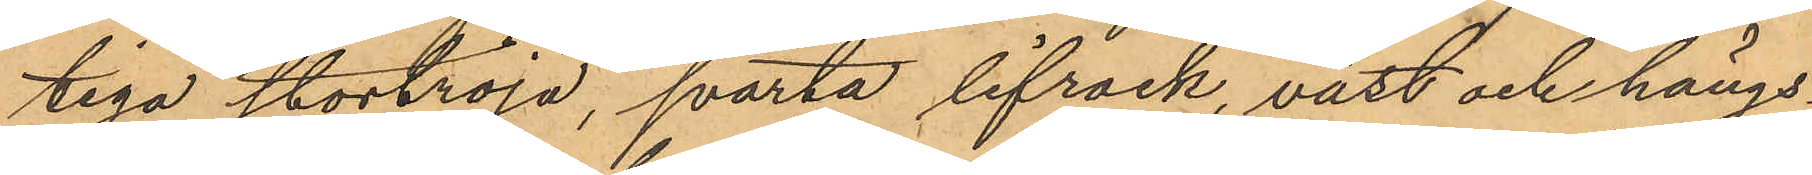tiga stortröja, svarta lifrock, väst och hängs¬
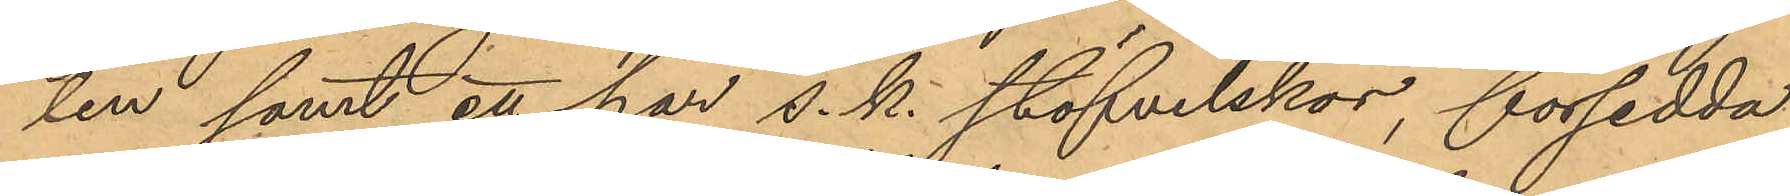len samt ett par s. k. stöfvelskor, försedda
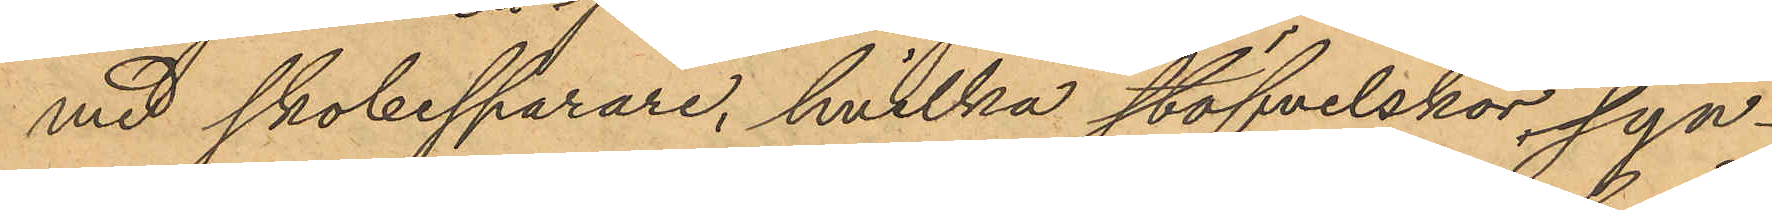med skobesparare, hvilka stöfvelskor syn¬
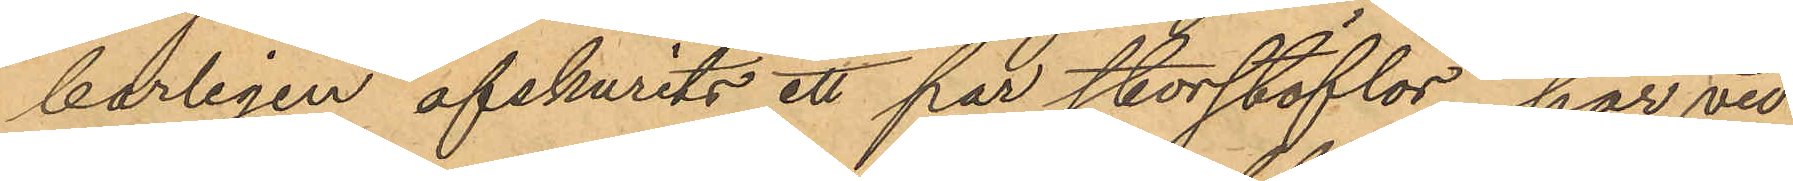barligen afskurits ett par storstöflar, har vid
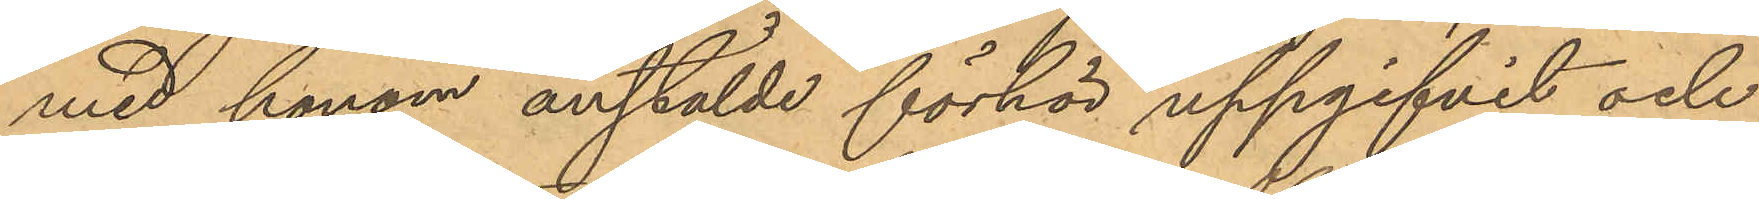med honom anstälde förhör uppgifvit och
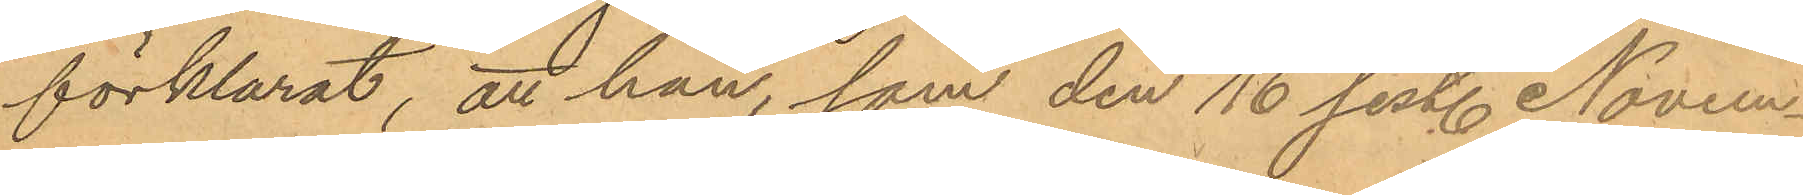förklarat, att han, som den 16 sist. Novem¬
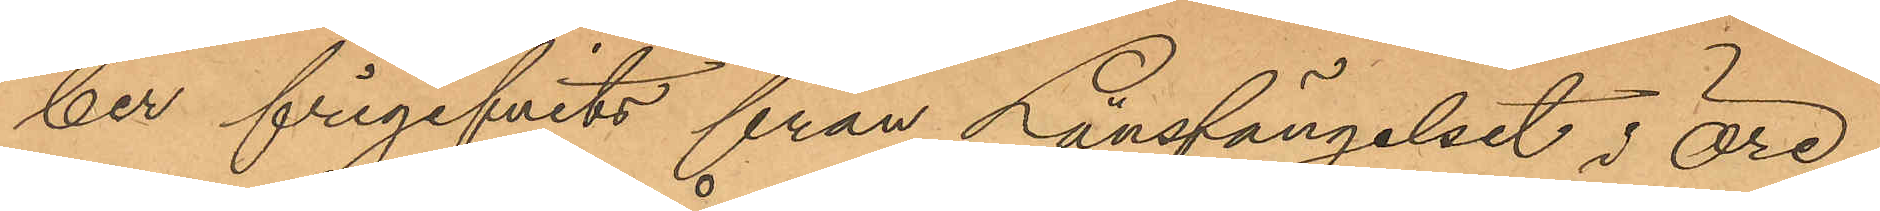ber frigifvits från Länsfängelset i Öre¬
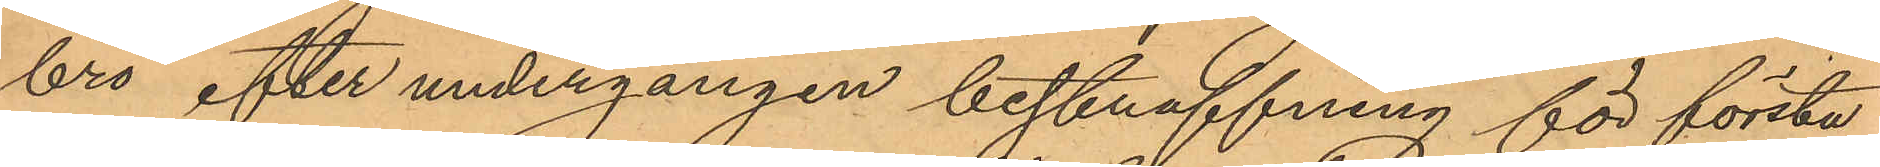bro efter undergången bestraffning för första
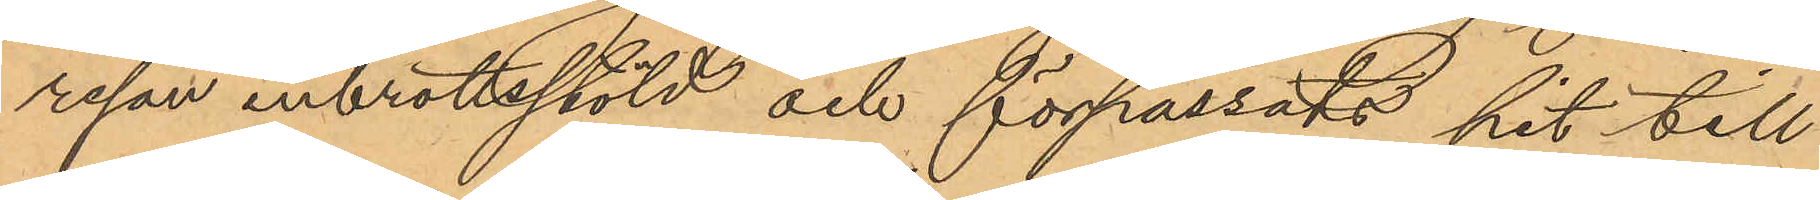resan inbrottsstöld och förpassats hit till
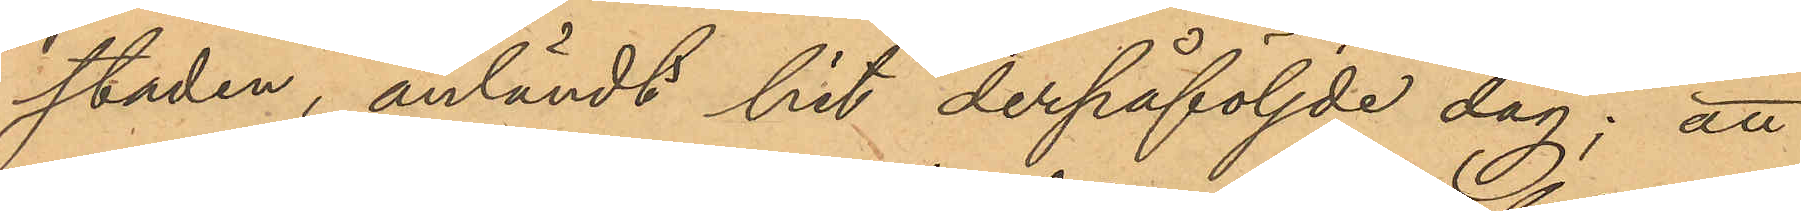staden, anländt hit derpåföljde dag; att
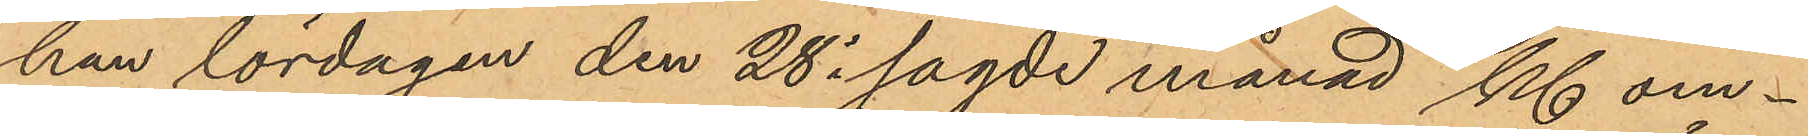han, lördagen den 28 i sagde månad kl. om¬
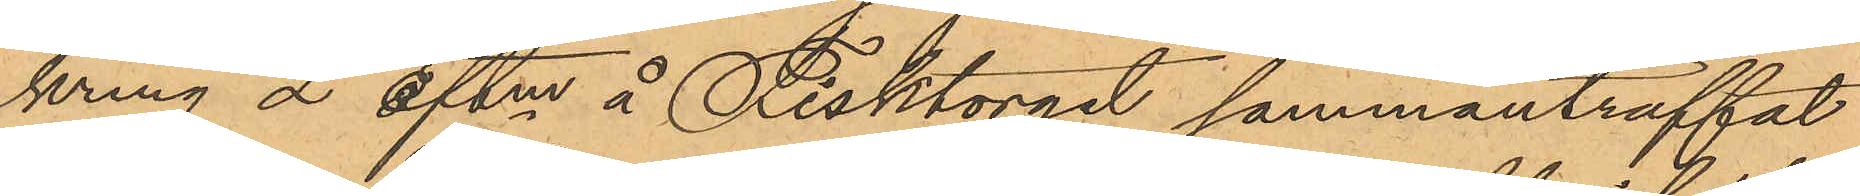kring 2 eftm å Fisktorget sammanträffat
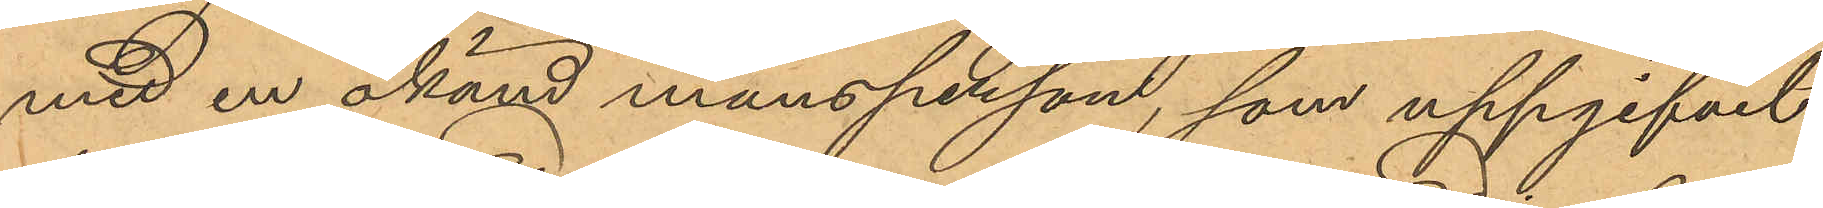med en okänd mansperson, som uppgifvit
